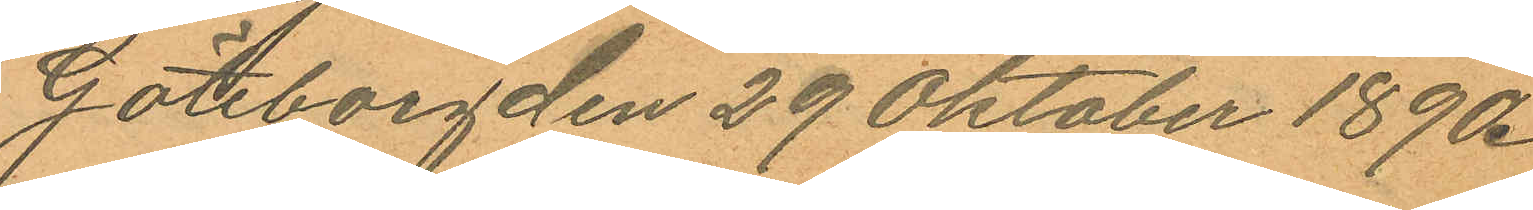Göteborg den 29 Oktober 1890.
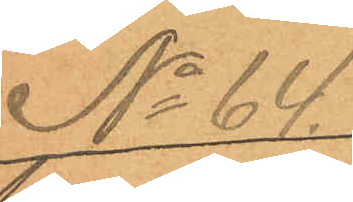No 64.
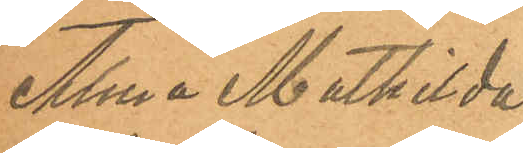Alma Mathilda
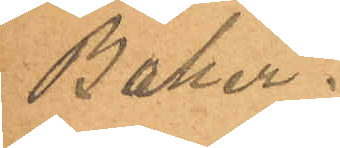Baker.
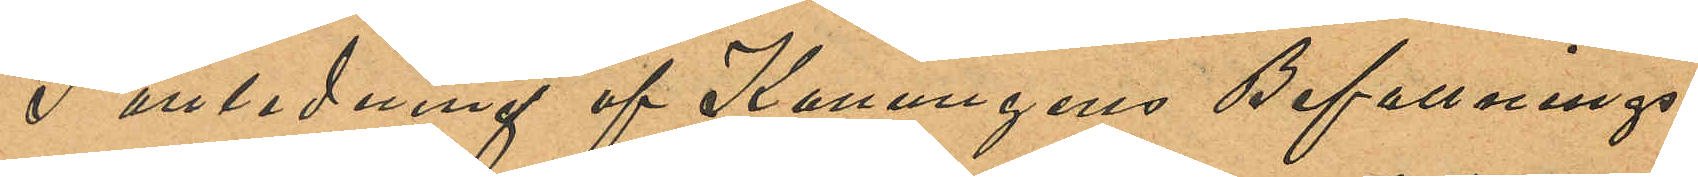I anledning af Konungens Befallnings¬
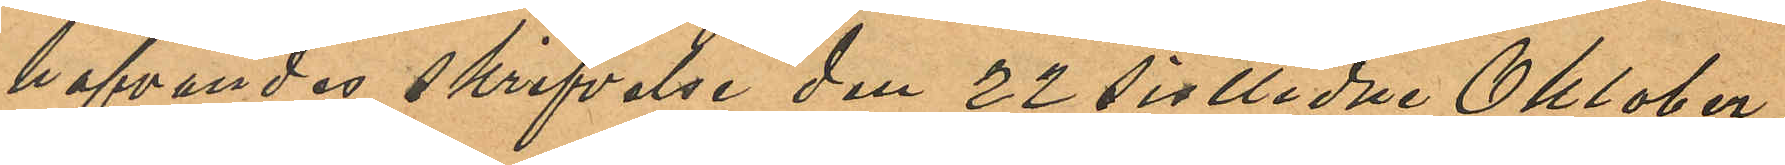hafvandes skrifvelse den 22 sistlidne Oktober,
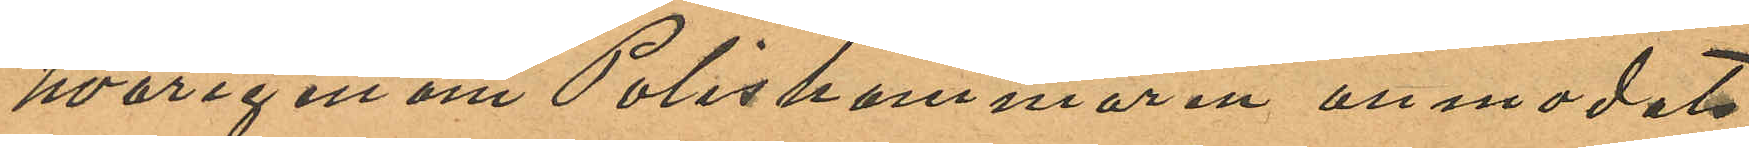hvarigenom Poliskammaren anmodats
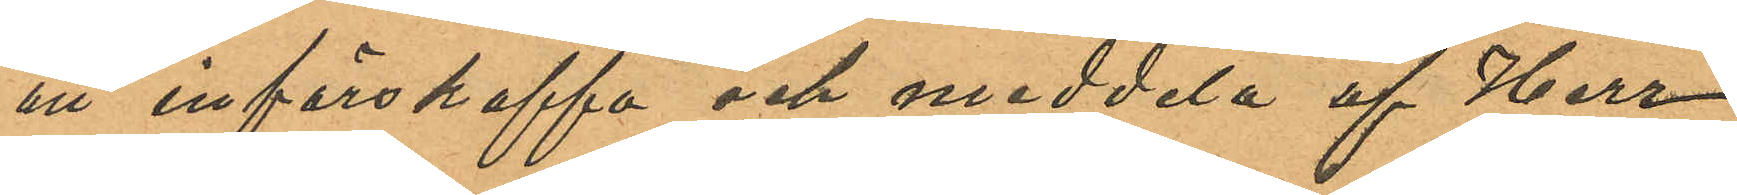att införskaffa och meddela af Herr
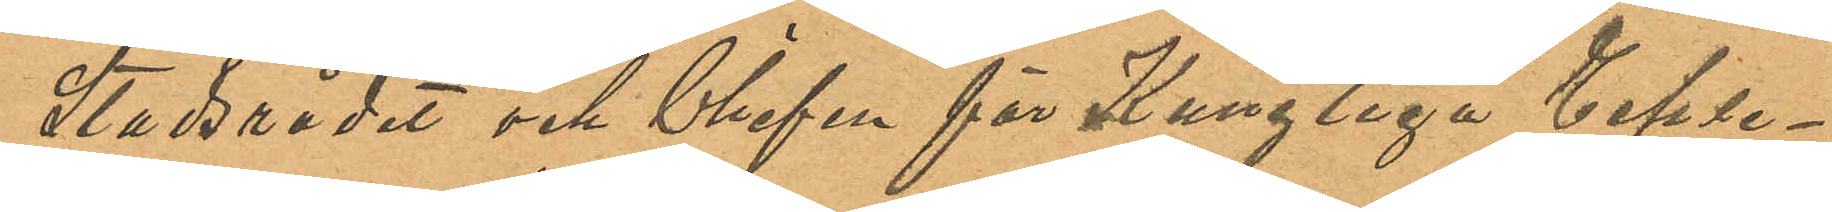Stadrådet och Chefen för Kungliga Ecle¬
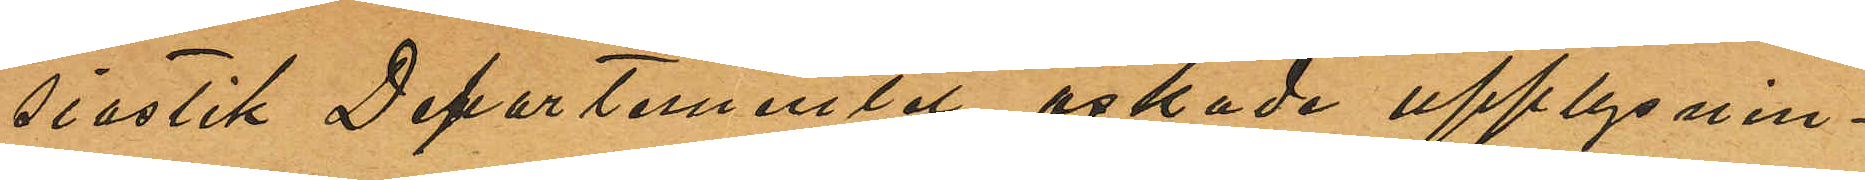siastik Departementet önskade upplysnin¬
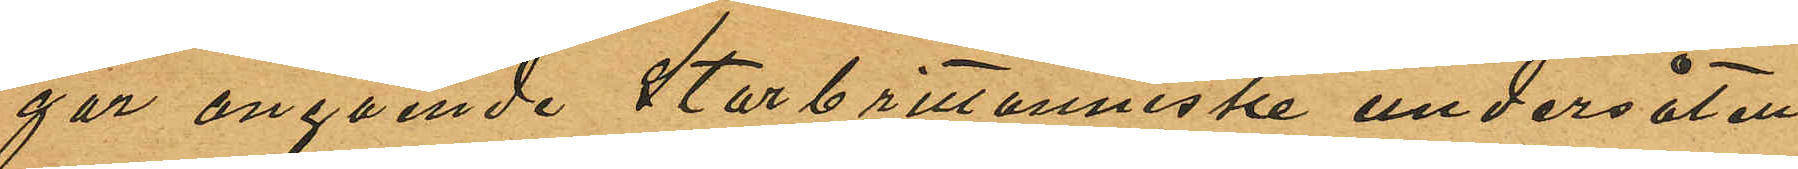gar angående Storbrittanniske undersåten
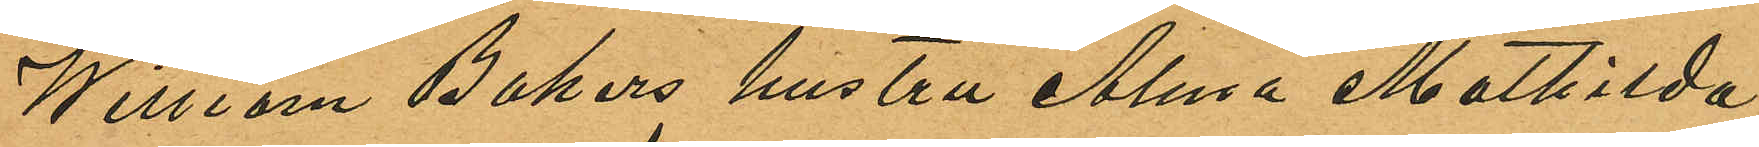William Bakers hustru Alma Mathilda
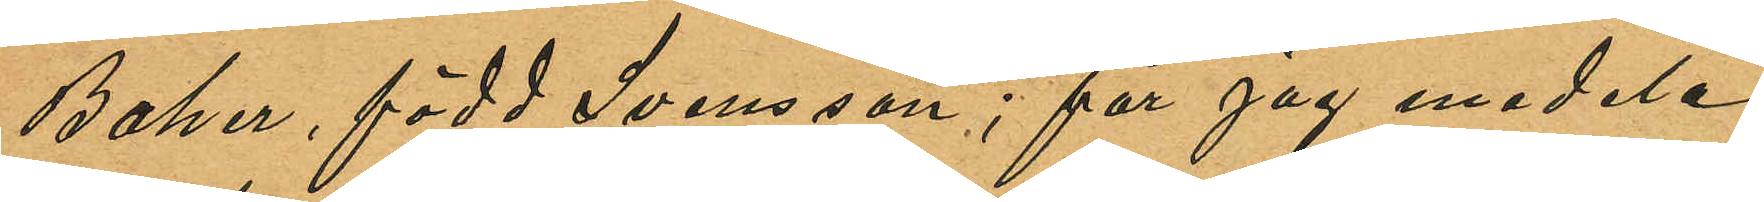Baker, född Svensson; får jag medela,
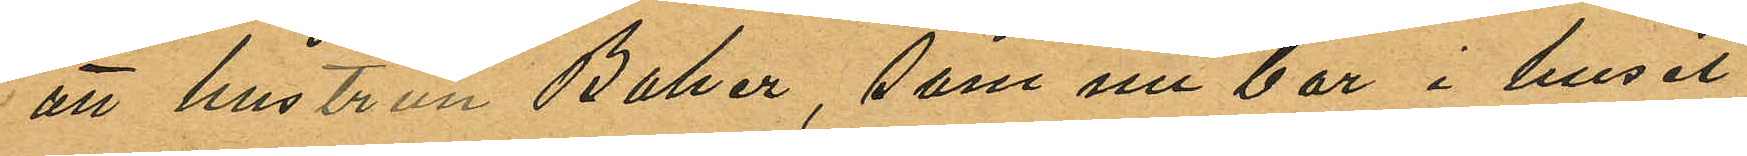att hustrun Baker, som nu bor i huset
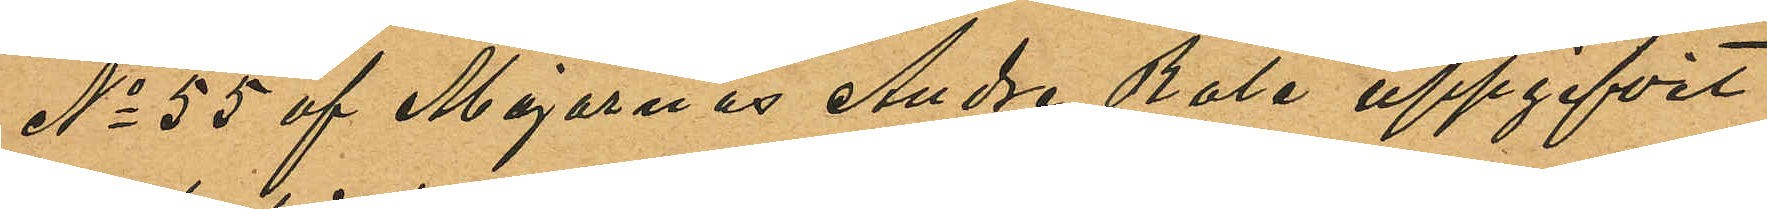No 55 af Majornas Andre Rote uppgifvit
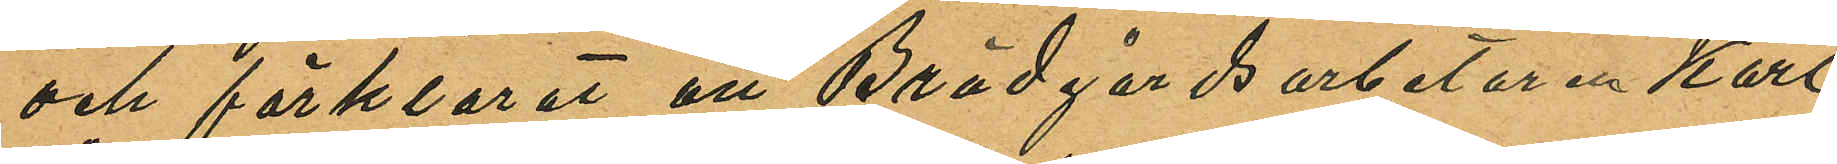och förklarat att Brädgårdsarbetaren Karl
